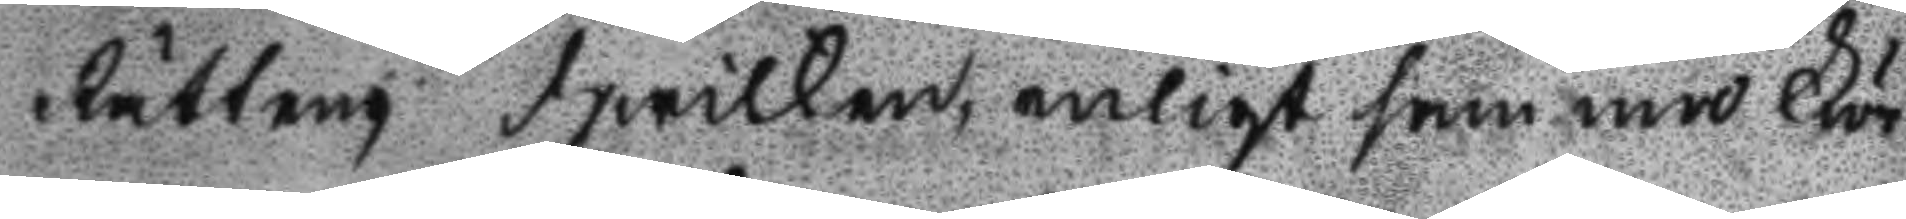Rätten hwilken, enligt samma För
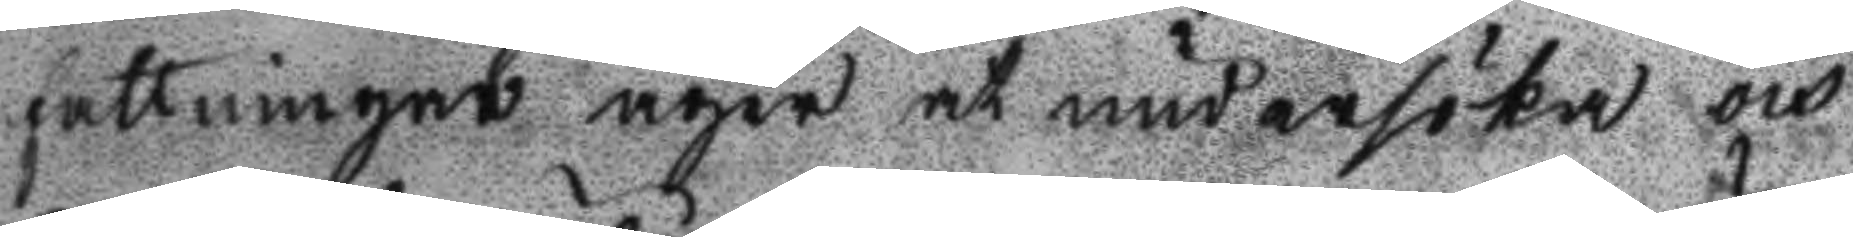fattningar äger at undersöka och
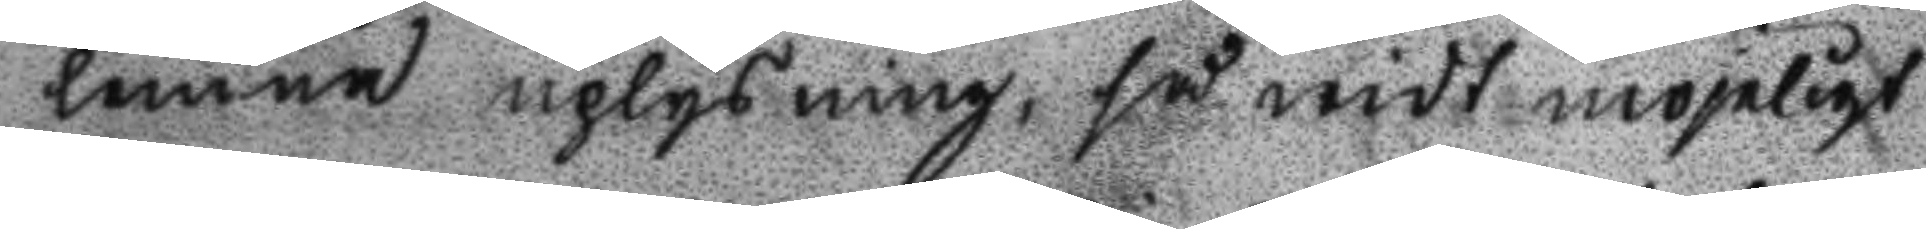lemna uplysning, så widt möjeligt
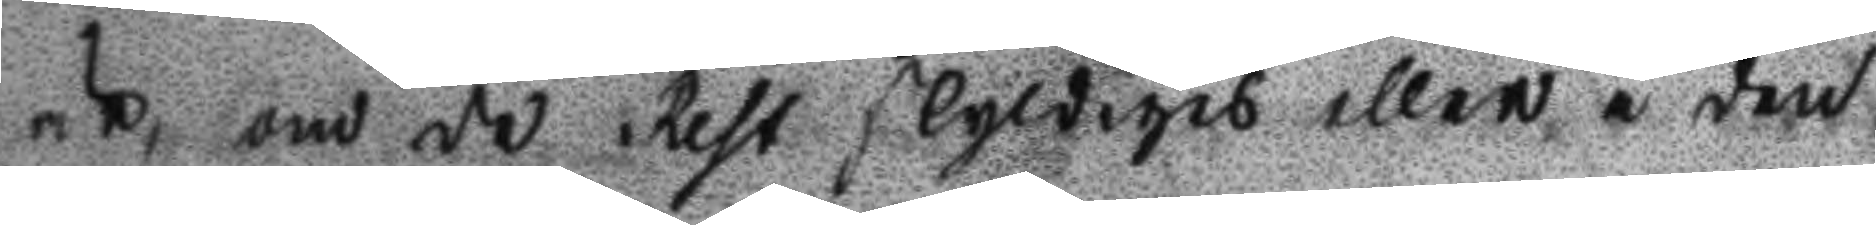är, om de Rest skyldigea eller i den
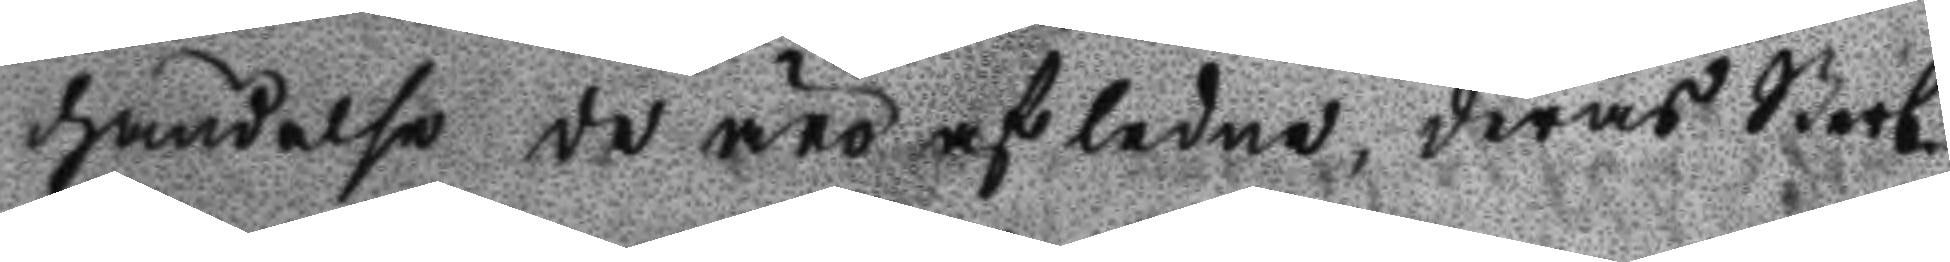händelse de äro afledne, deras sterb
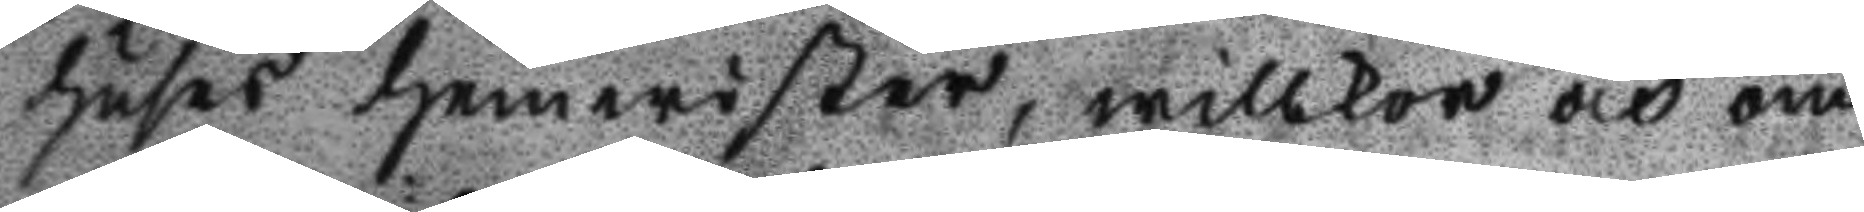huses hemerister, willkor och om
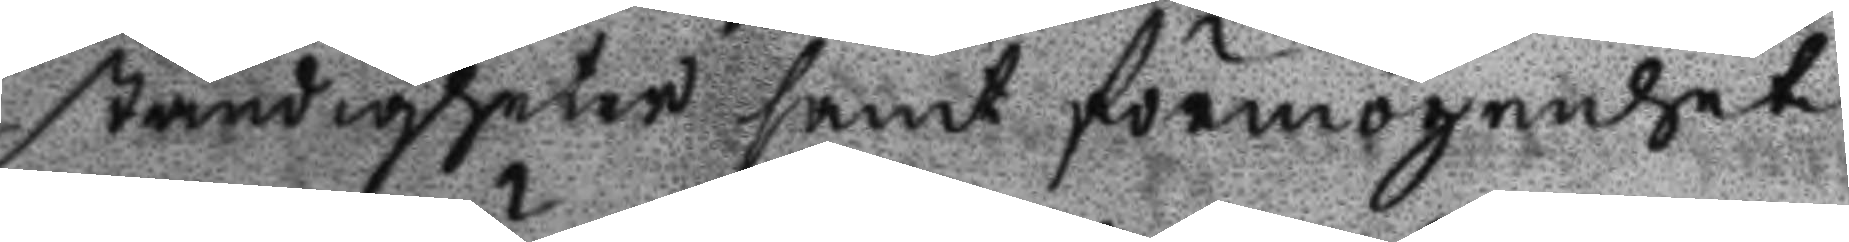ständigheter samt förmögenhet,
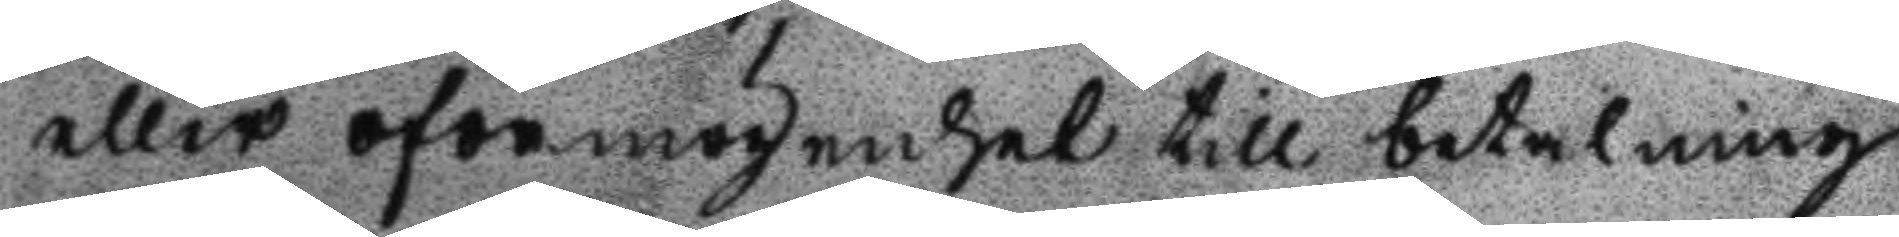eller oförmögenhet till betalning
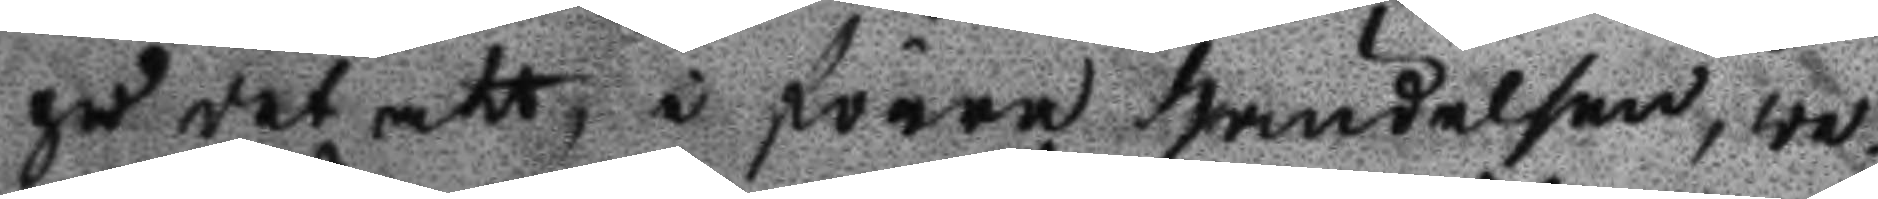på det att, i förra händelsen, we¬
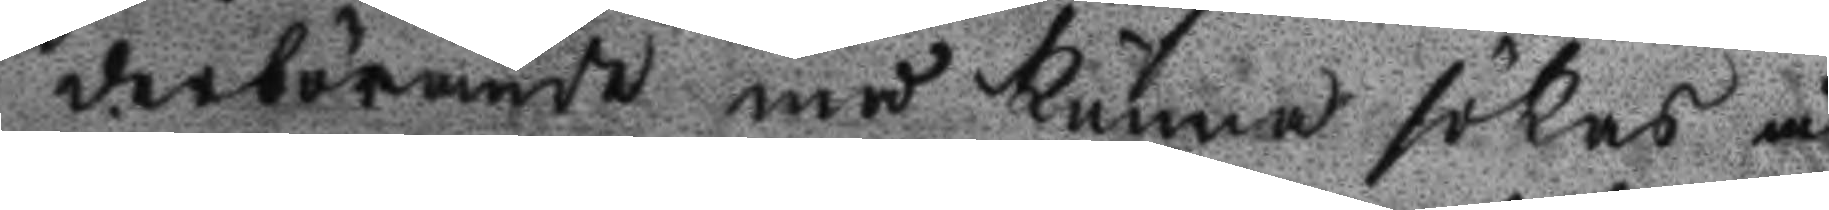derbörande må kunna sökas å
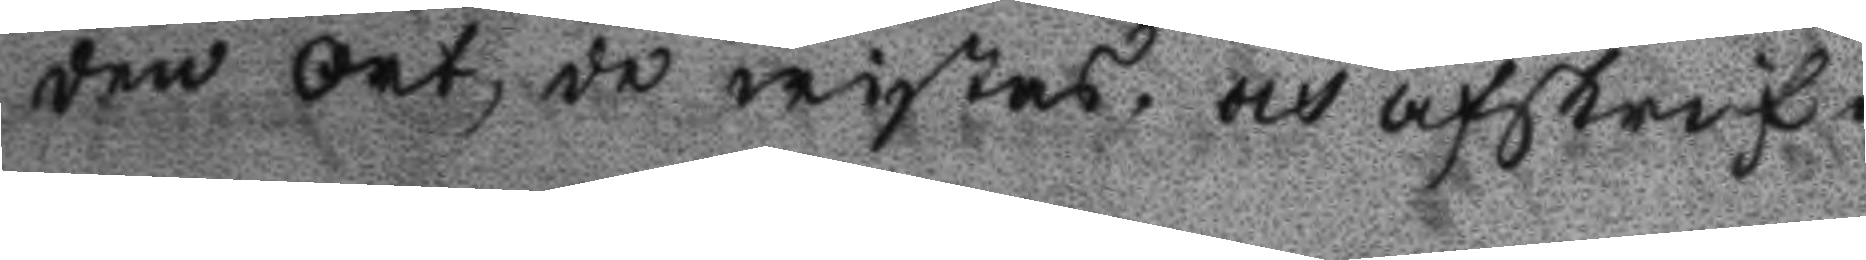den Ort, de wistas, och afskrif¬
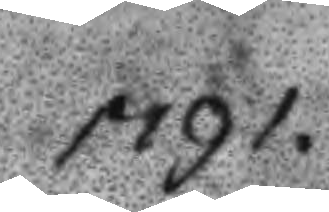1791.
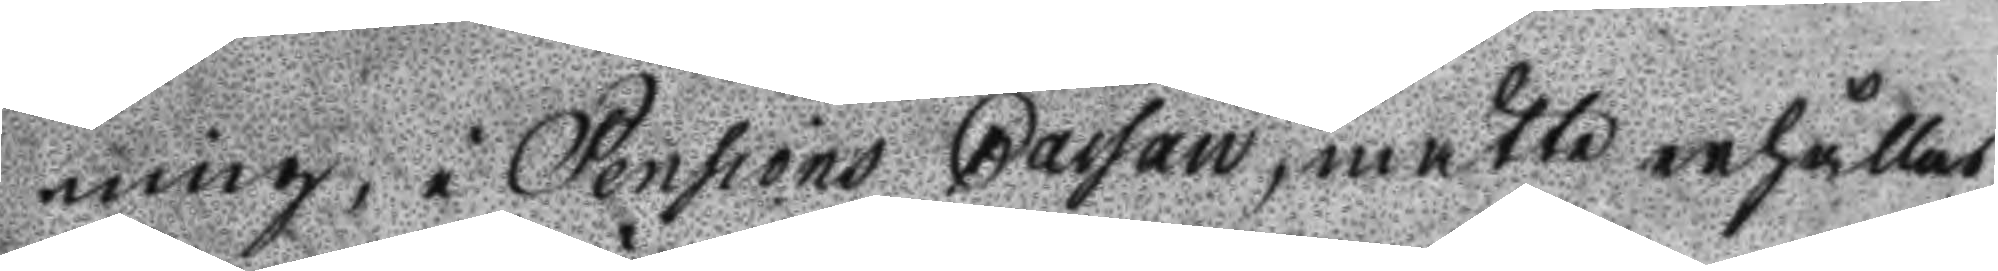ning, i Pensions Cassan, måtte erhållas
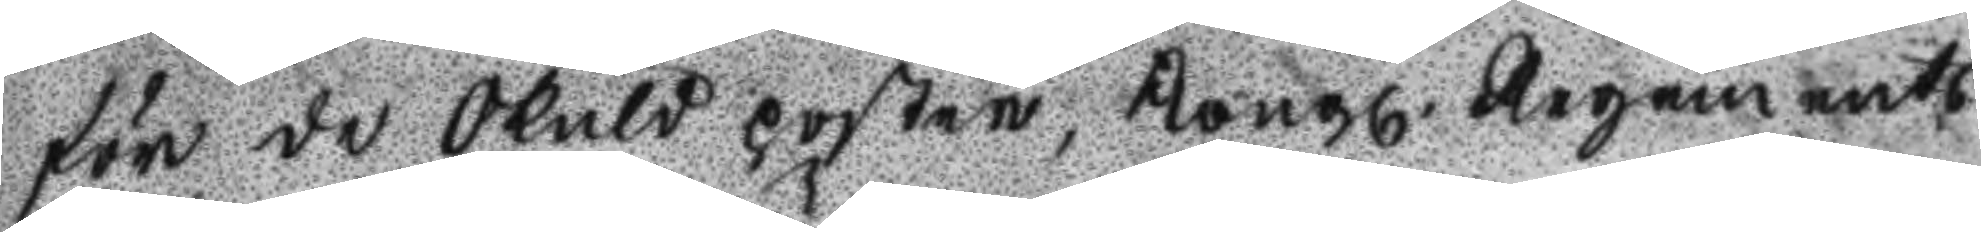för de Skuld poster, Kongl. Regements
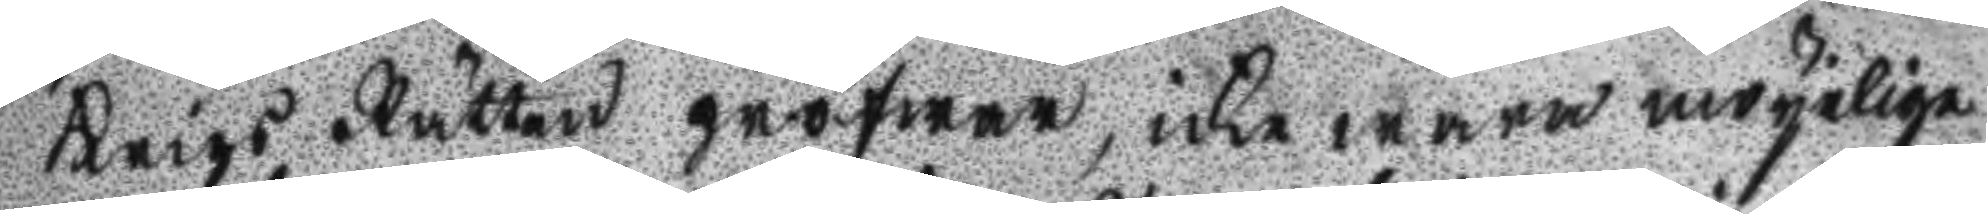Krigs Rätten pröfwar, icke wara möyelige
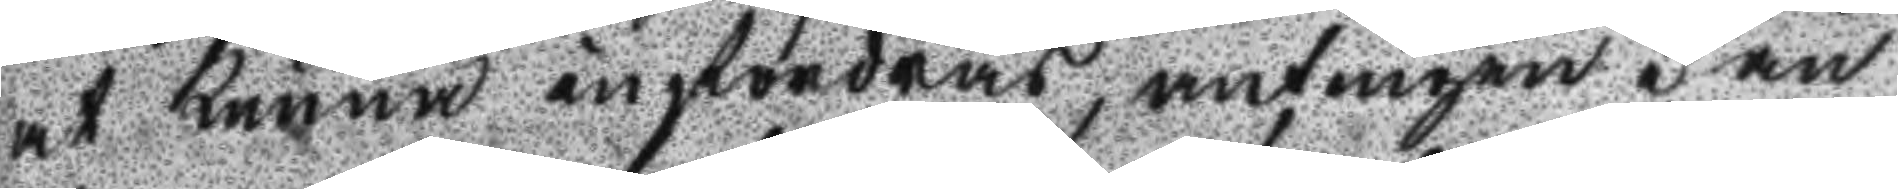at kunna infordras, antingen i an
